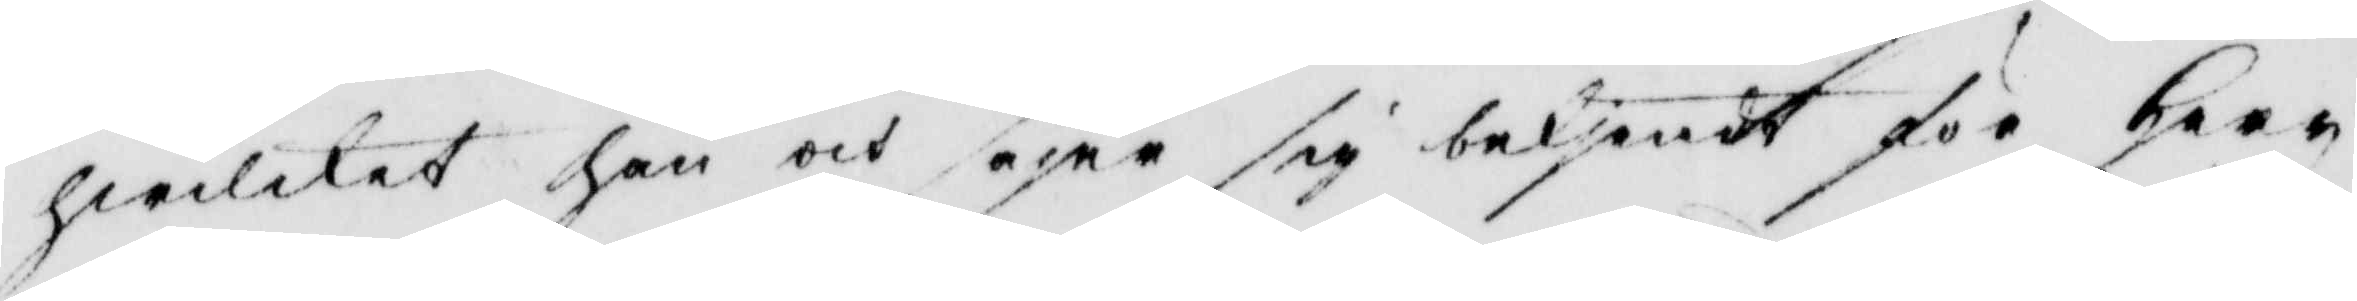hwilket han och säjer sig bekjendt för herr
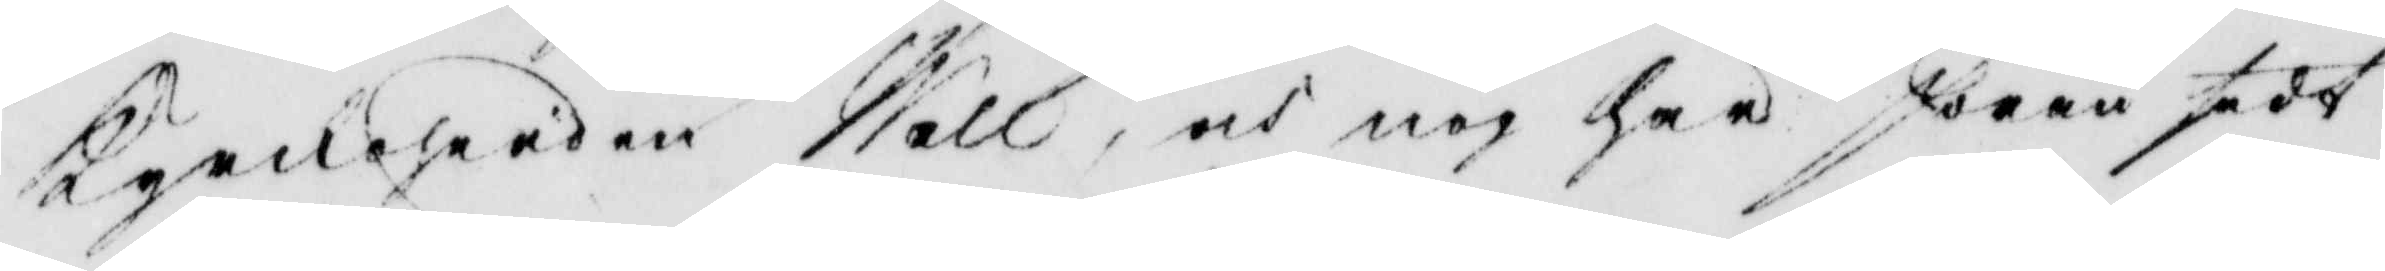kyrkoherden Wall, och nog har Jöran sedt
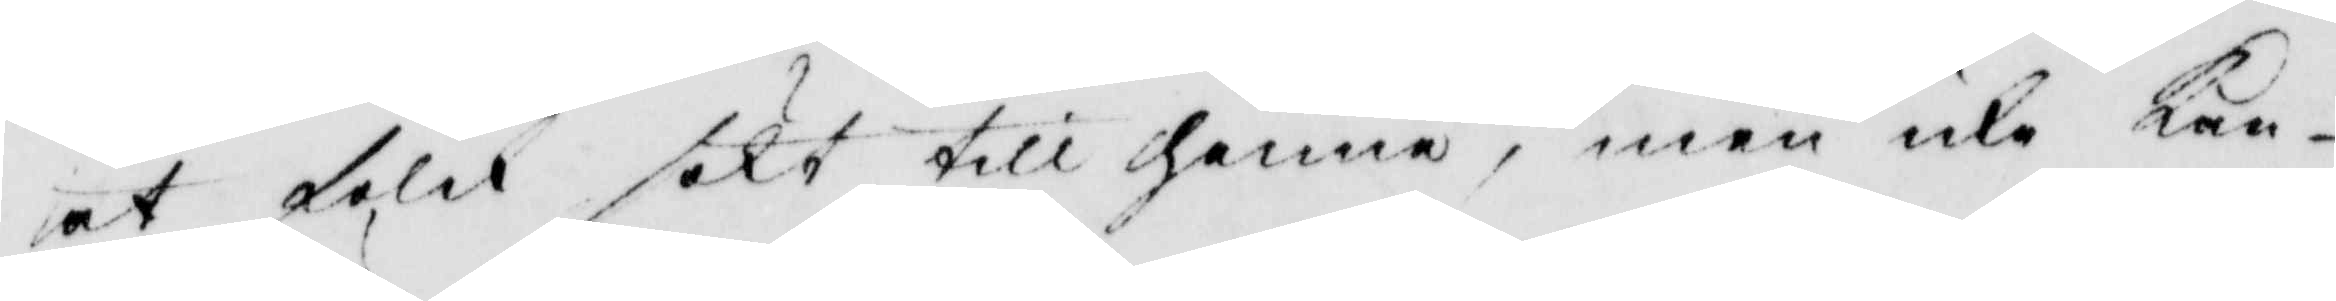at folk sökt till henne, men icke kan
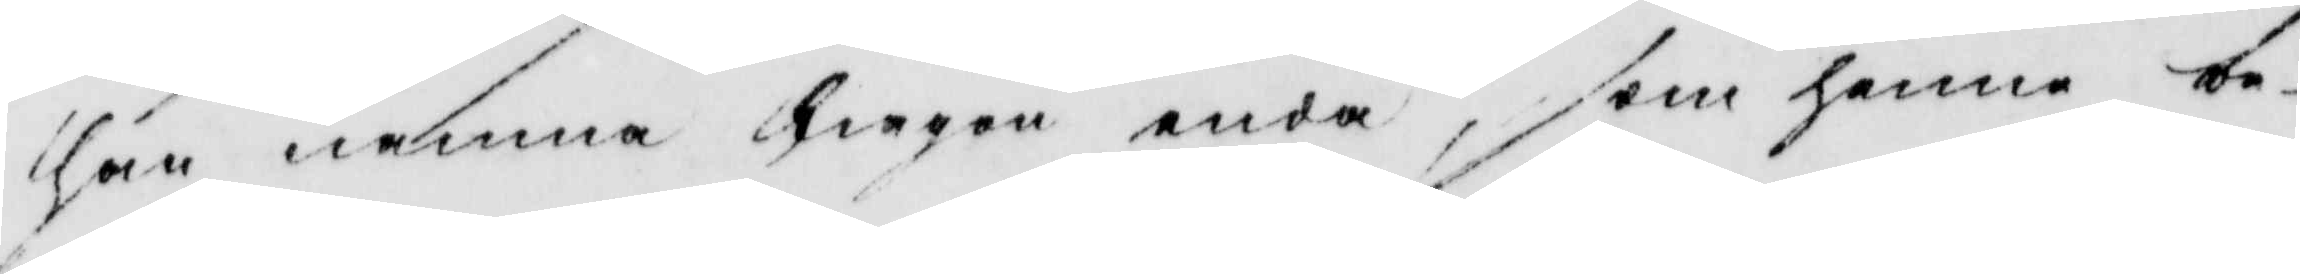han nämna någon enda, som henne be¬
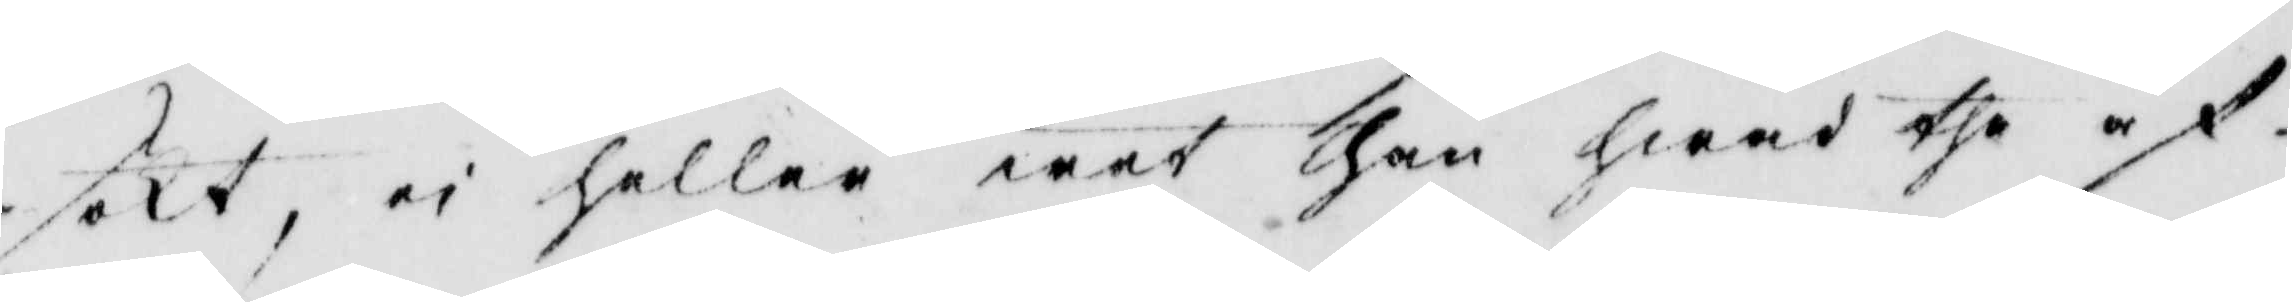sökt, ei heller wet han hwad the af
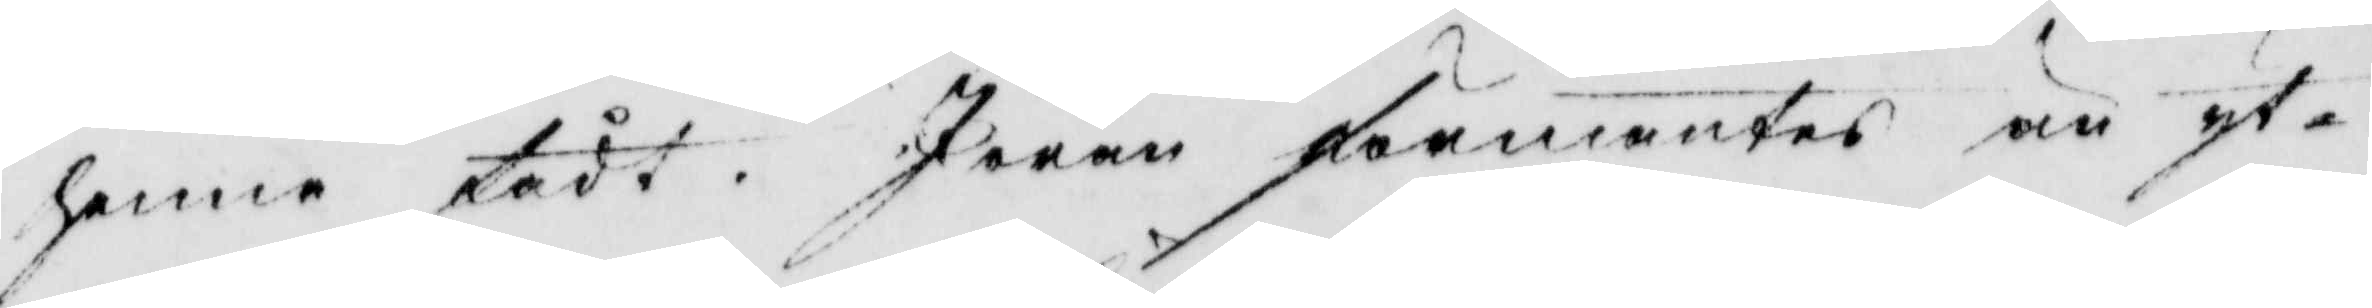henne fådt. Jöran förmantes än yt¬
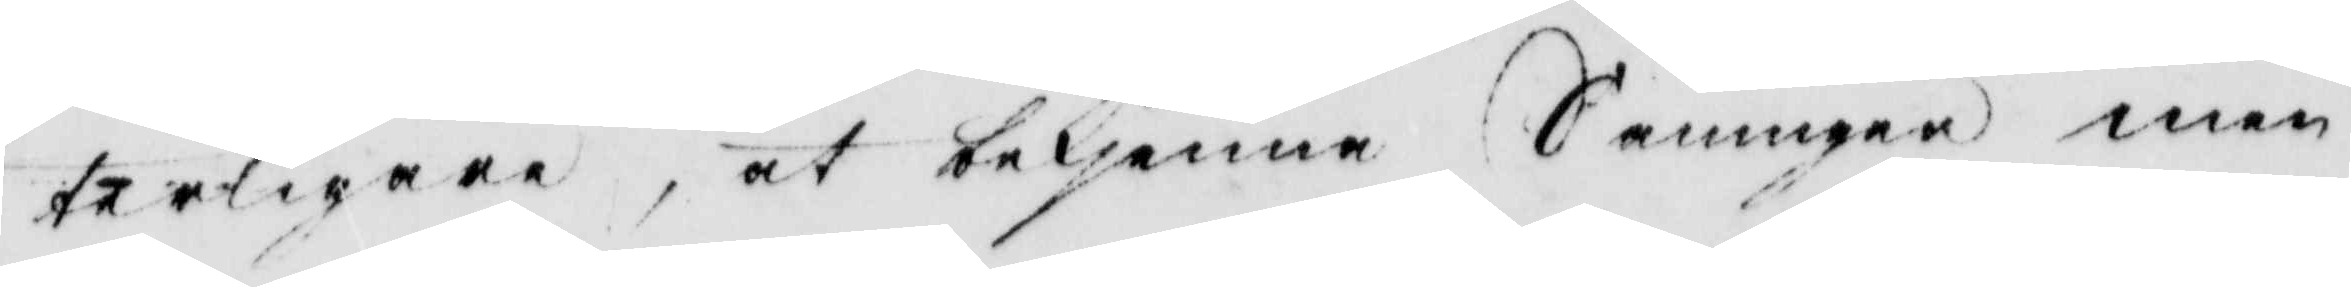terligare, at bekjänna Sanningen men
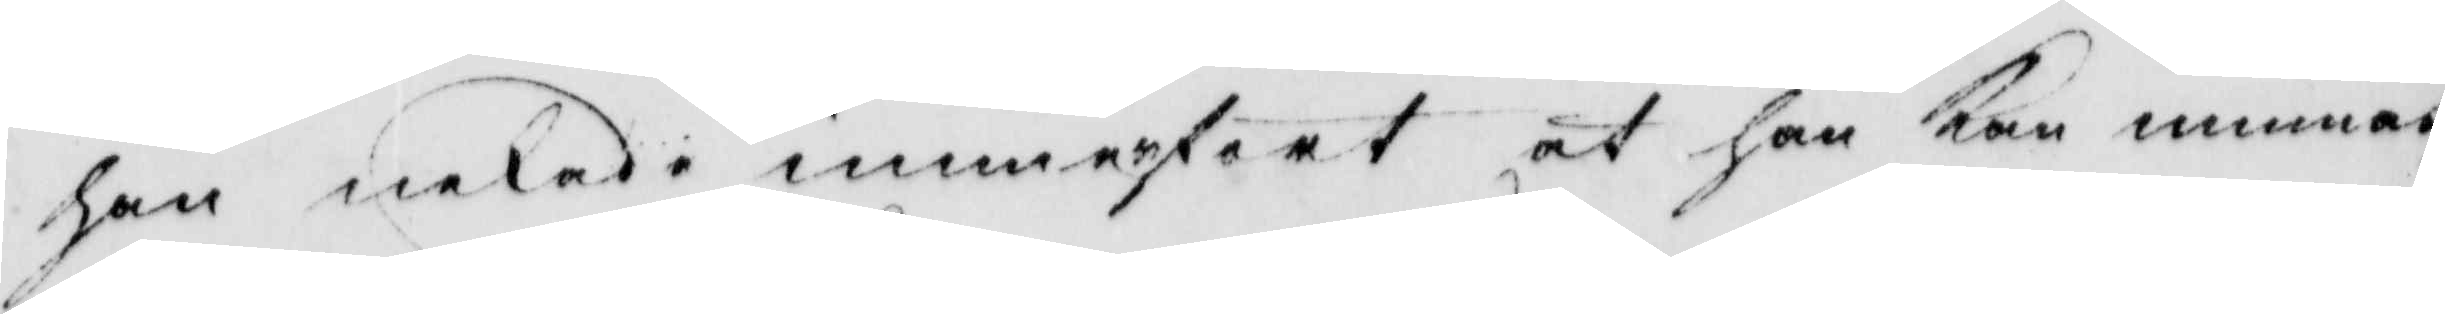han nekade immerfort at han kan minnas
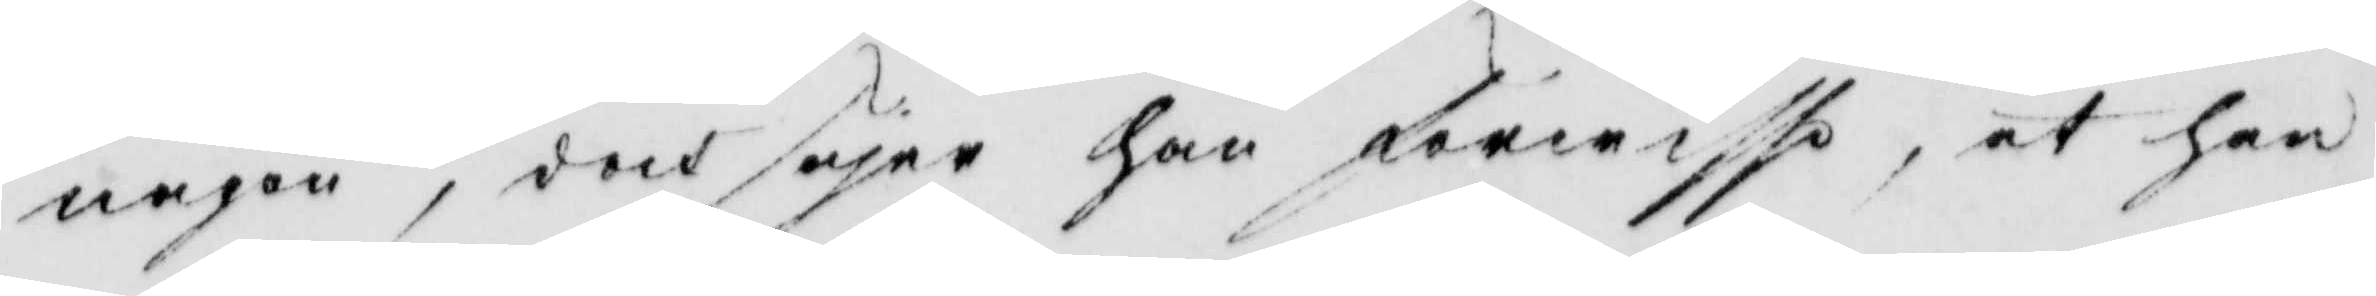någon, doch säjer han förwisso, at han
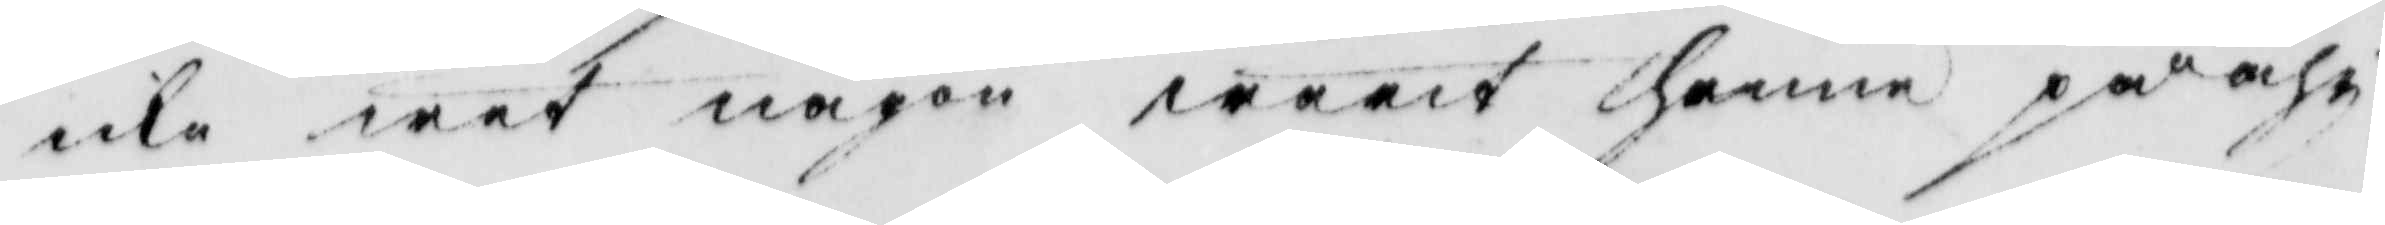icke wet någon warit henne på åhr 
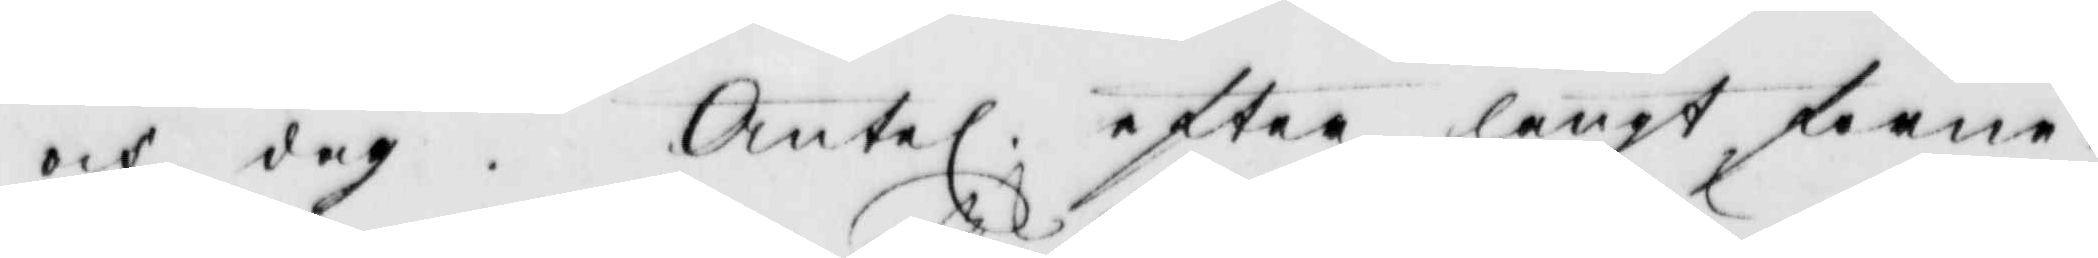och dag. Äntel. efter långt förne¬
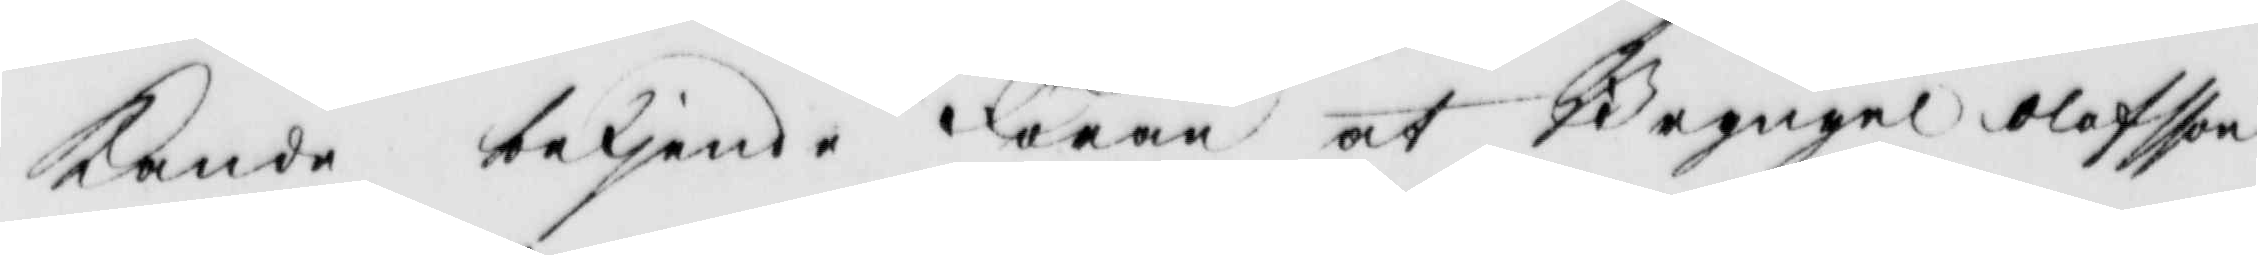kande betjende Jöran at Bryngel olofsson
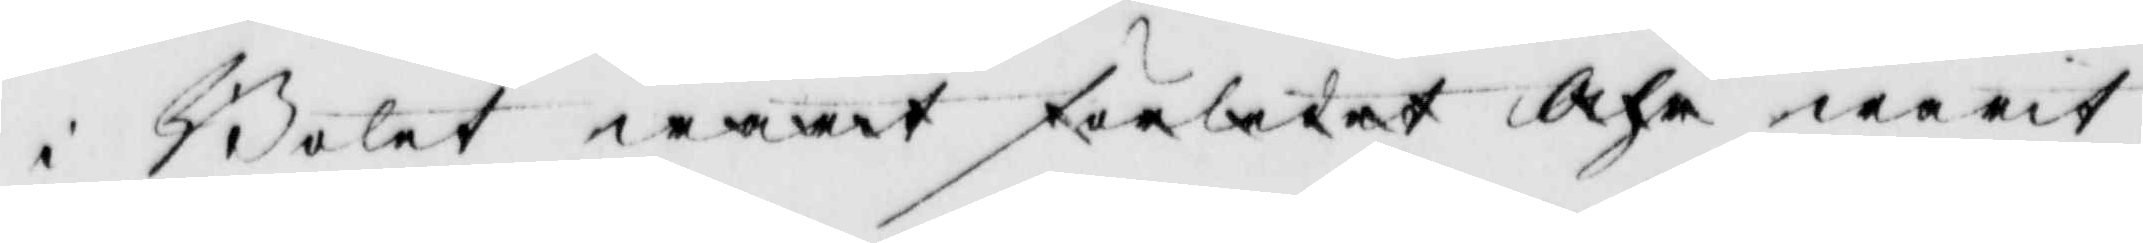i Bolet warit förledet Åhr warit
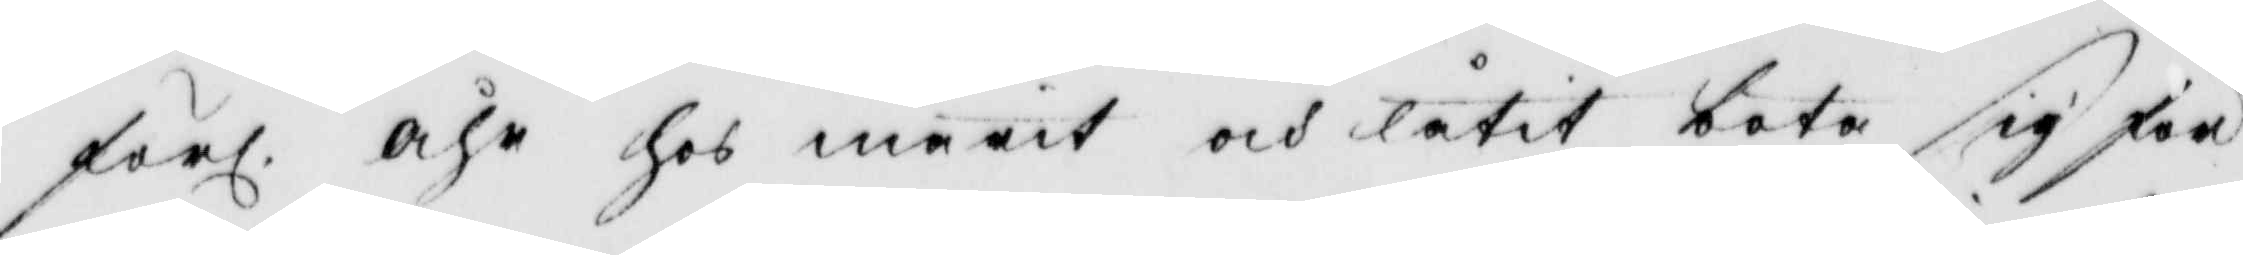förl. åhr hos marit och låtit bota sig för
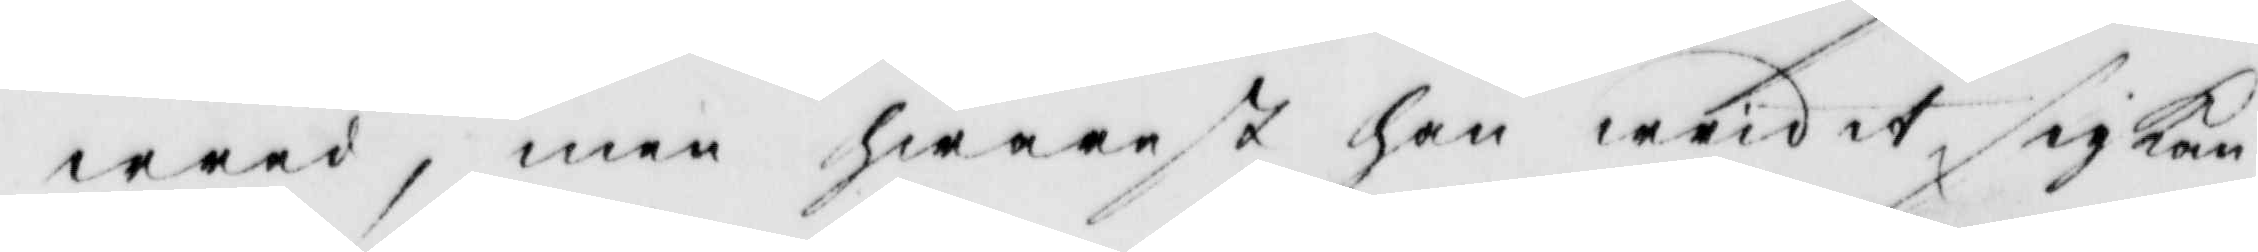wred, men hwarest han wridit sig kan
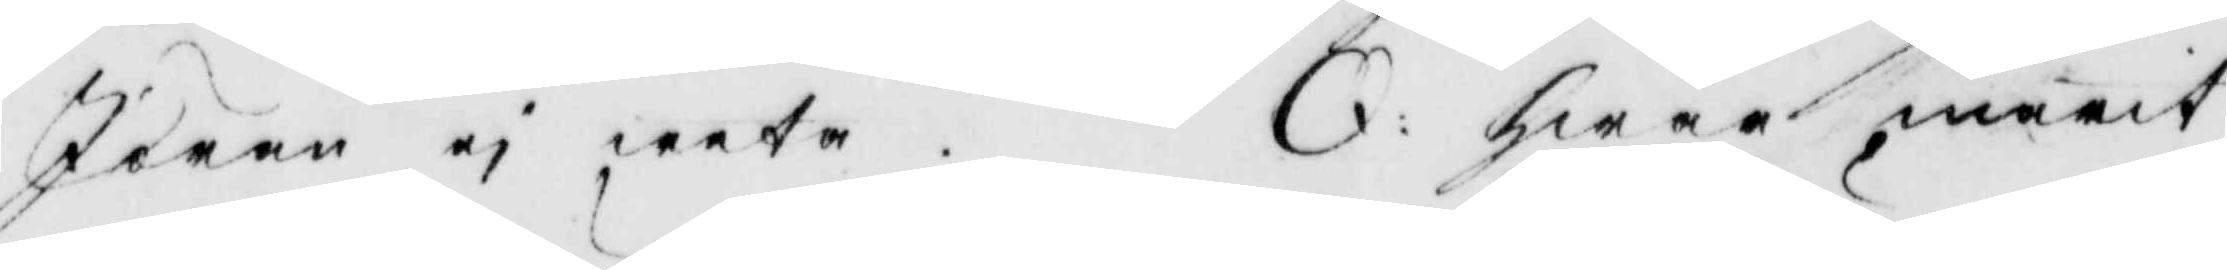Jöran ej weta. Q: hwar marit
